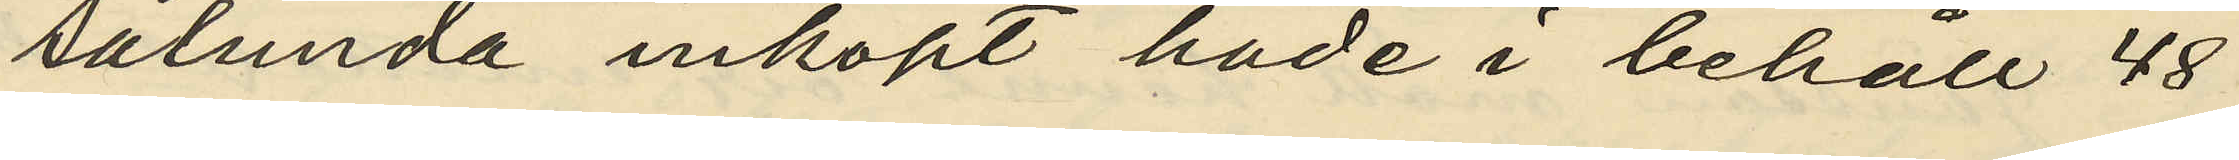sålunda inköpt hade i behåll 48
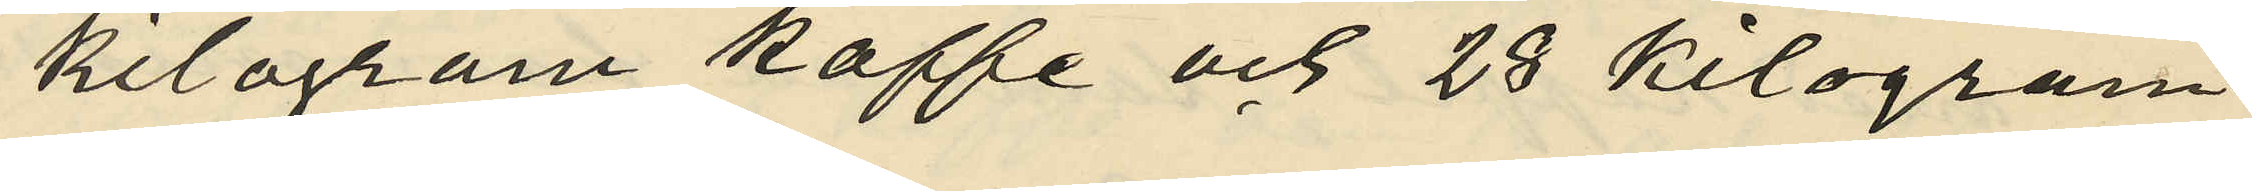kilogram kaffe och 28 kilogram
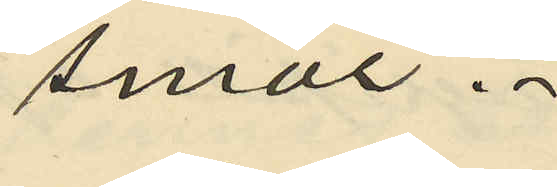smör.
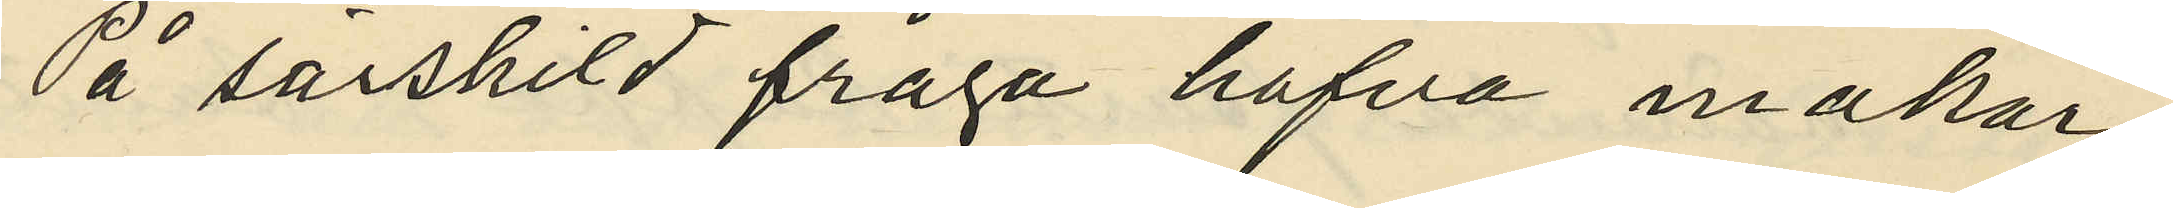På särskild fråga hafva makar¬
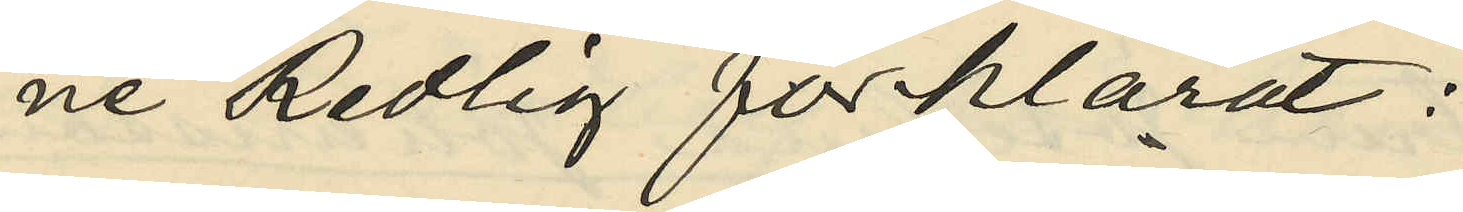ne Redlig förklarat:
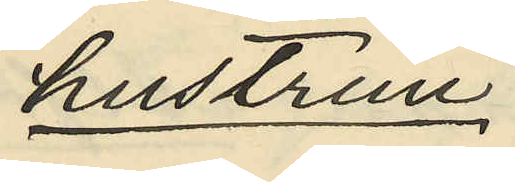hustrun
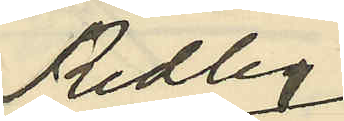Redlig
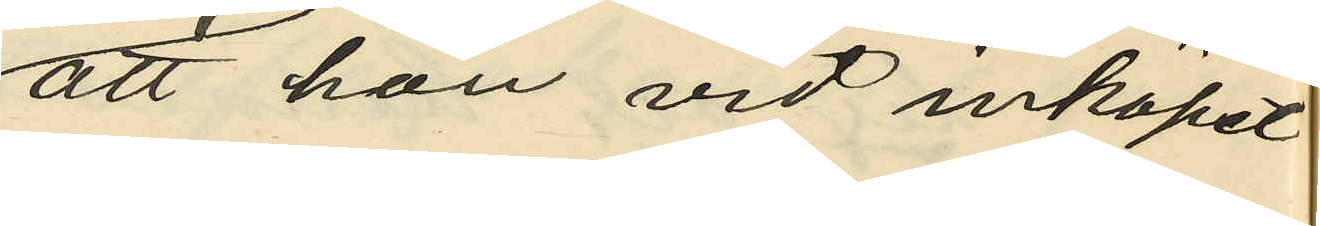att hon vid inköpet
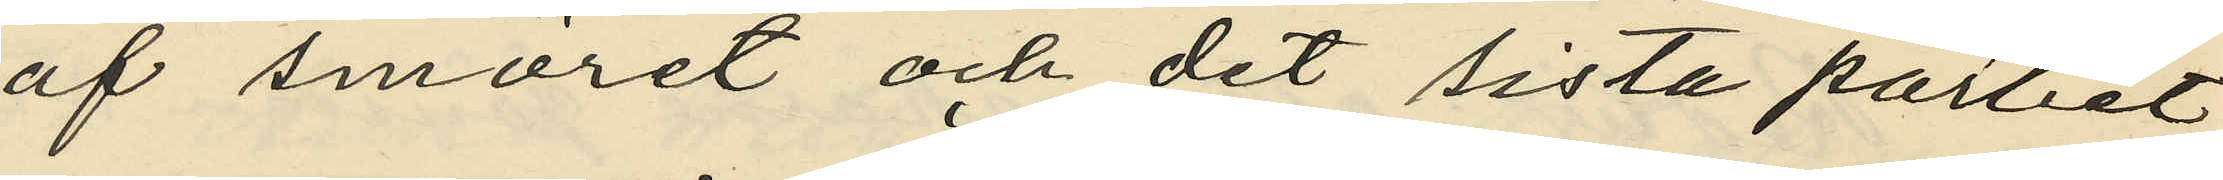af smöret och det sista partiet
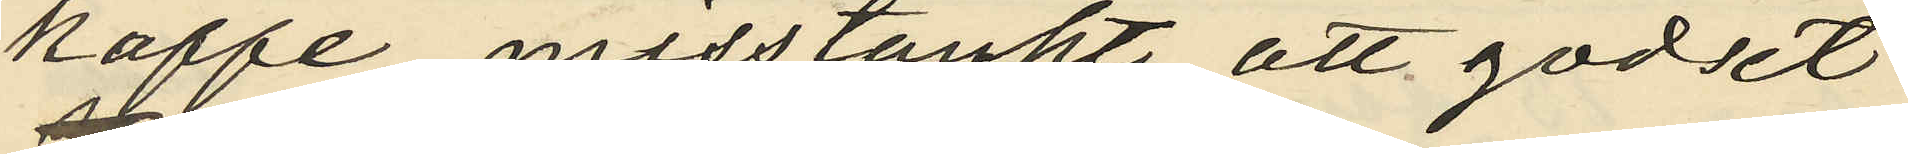kaffe misstänkt att godset
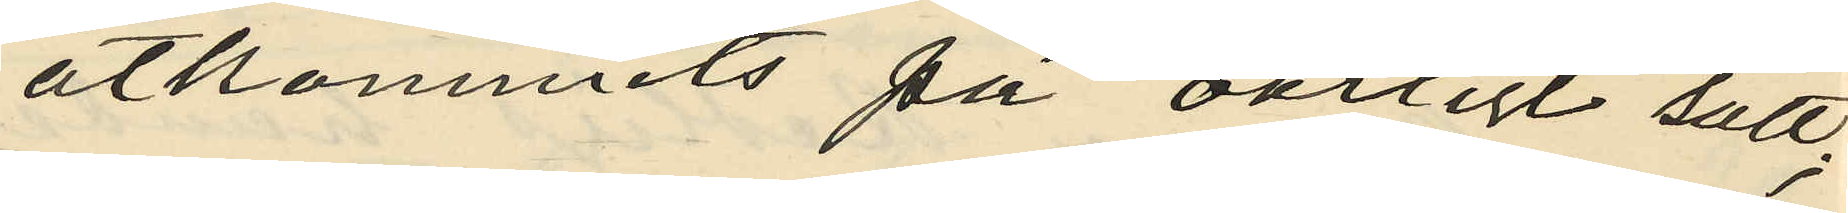åtkommits på oärligt sätt;
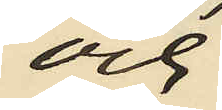och
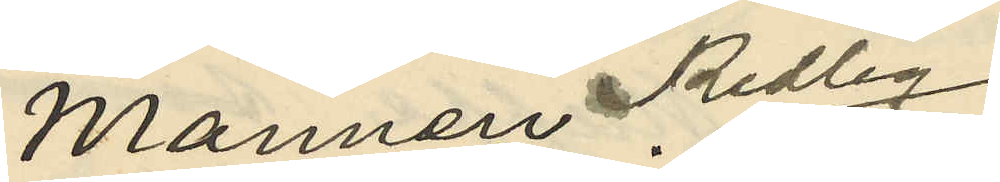Mannen Redlig:
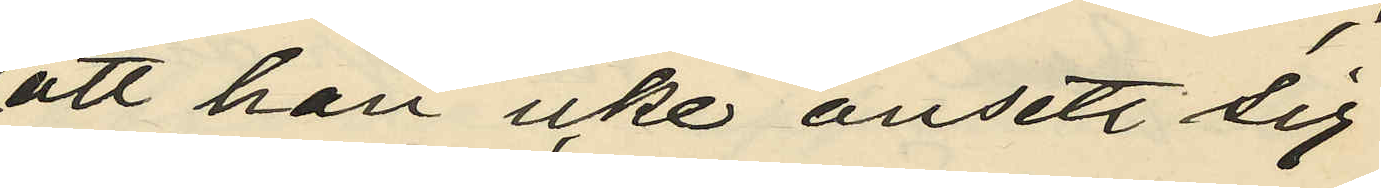att han icke ansett sig
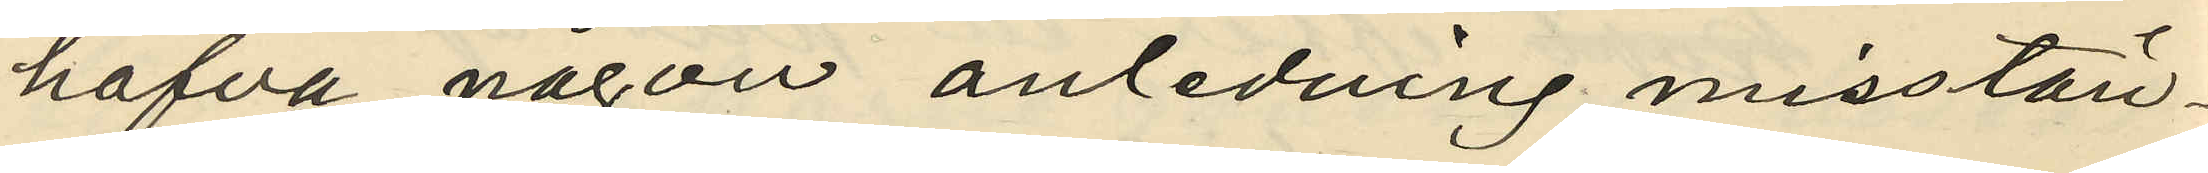hafva någon anledning misstän¬
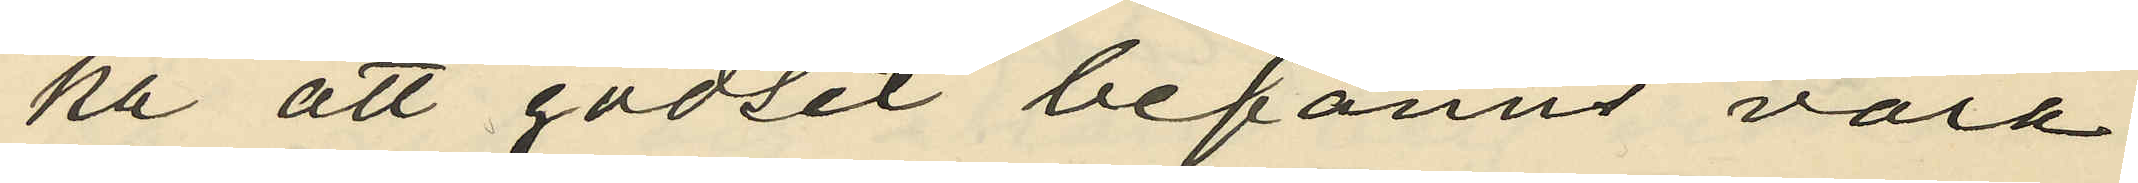ka att godset befanns vara
